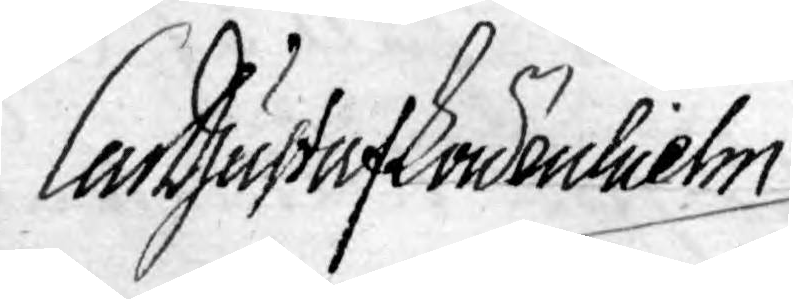Carl Gustaf Söderhielm
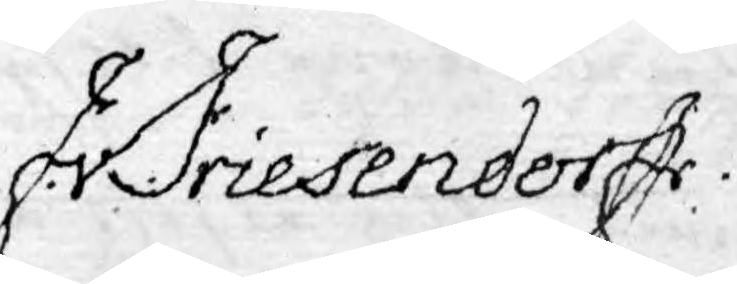Fr. Friesendorff.
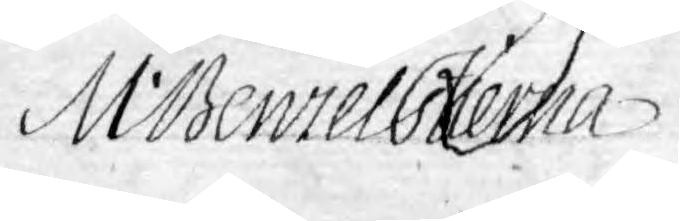M. Benzelstierna
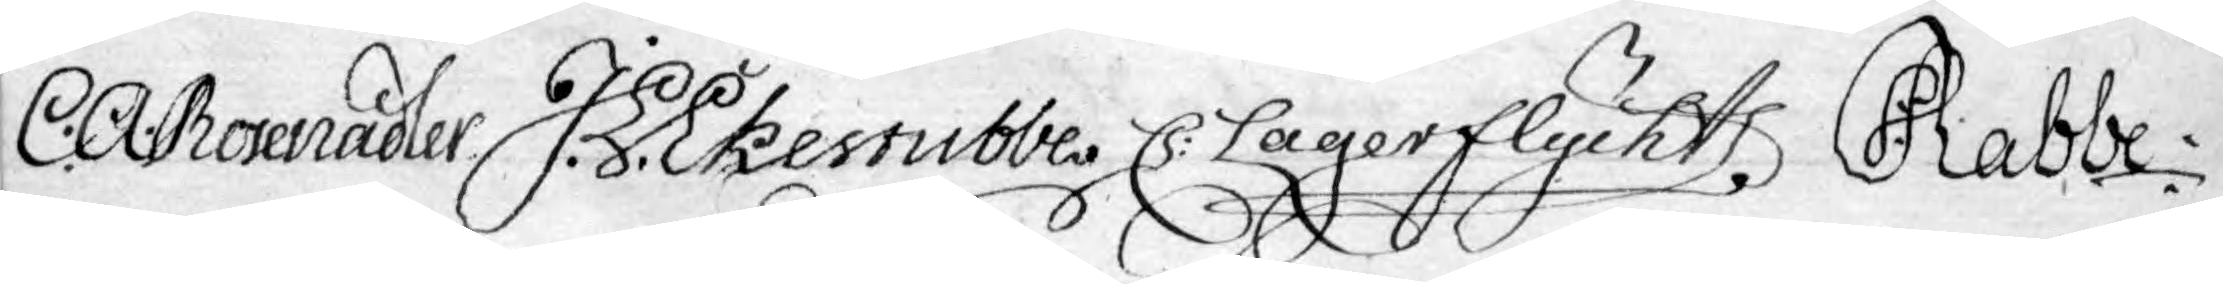C. A. Rosenadler J. Ekestubbe C: Lagerflycht I: Rabbe
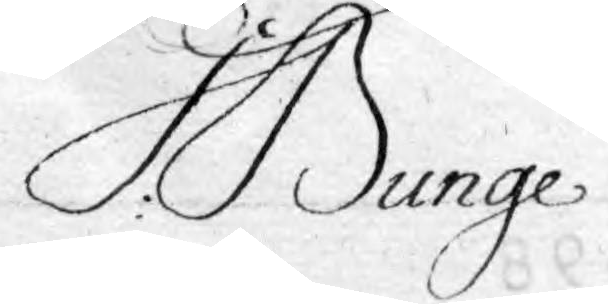I: Bunge
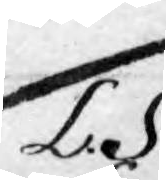L. S.
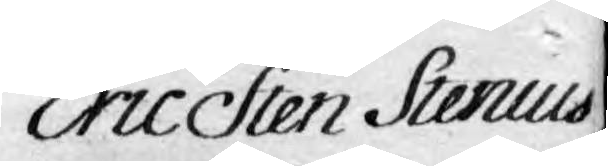Eric Sten Stenius
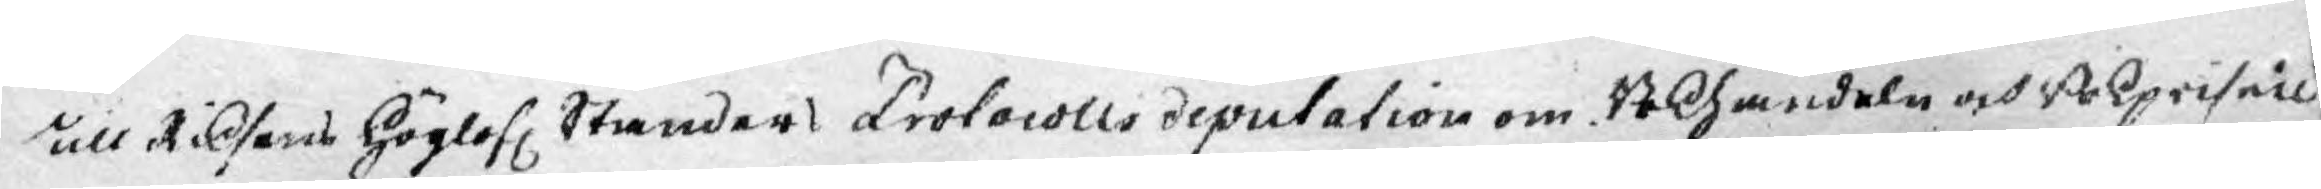till Riksens Höglofl. Ständers Protocolls deputation om Bokhandeln och Bokpriser
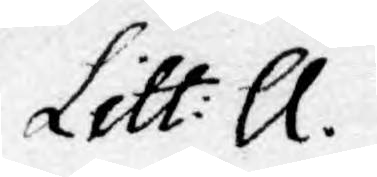Litt: A.
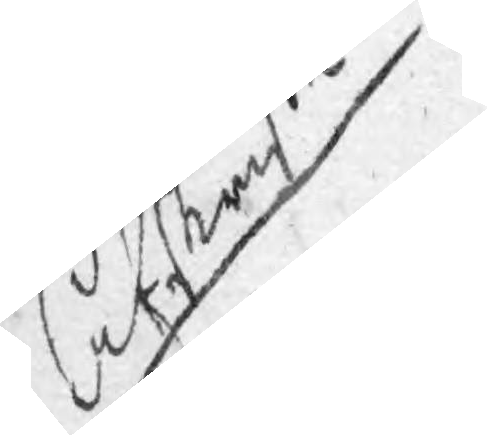Afskrifth
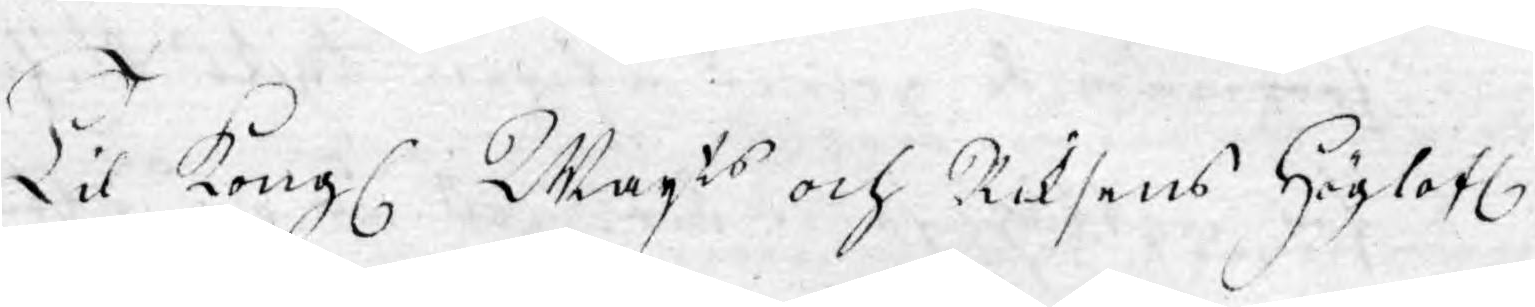Til Kongl. Majts och Riksens Höglofl.
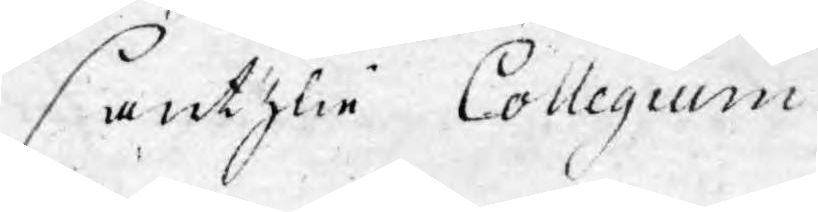Cantzlie Collegium
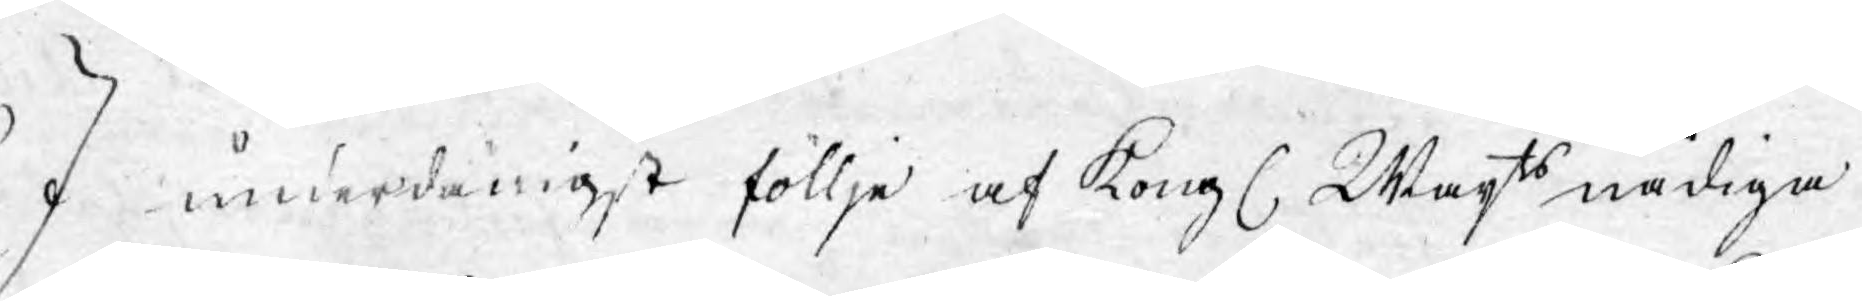I underdånigst föllje af Kongl. Maj:ts nådiga
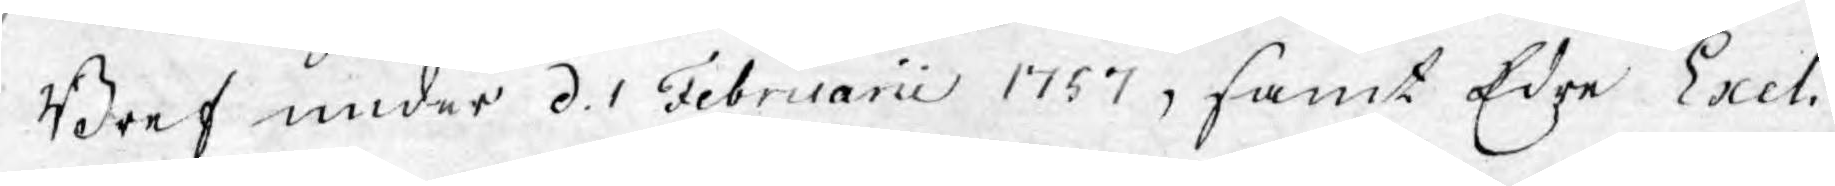Bref under d. 1 Februarii 1757, samt Edre Exel¬
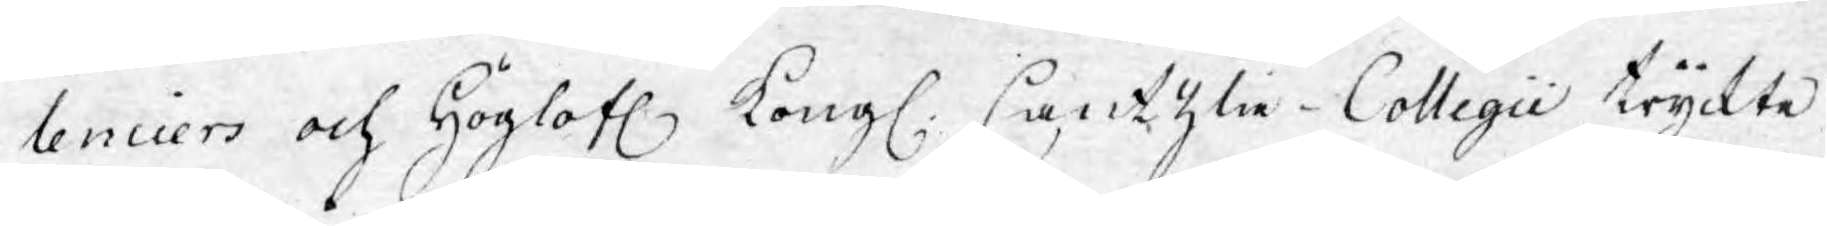lenciers och Höglofl. Kongl. Cantzlie-Collegii tryckte
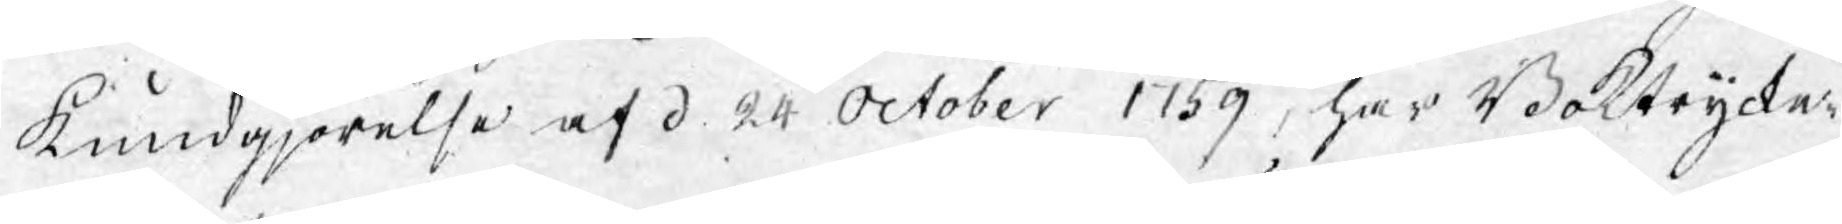kundgjörelse af d. 24 October 1759, har Boktrycke¬
